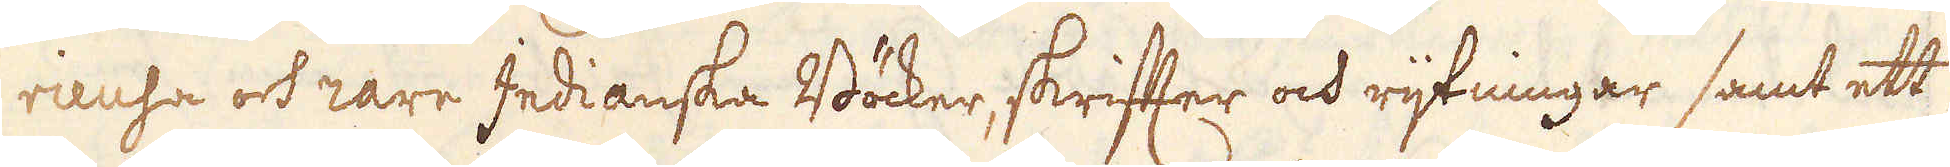rieusa ock rara Indianska Böcker, skrifter och rijtningar samt ett
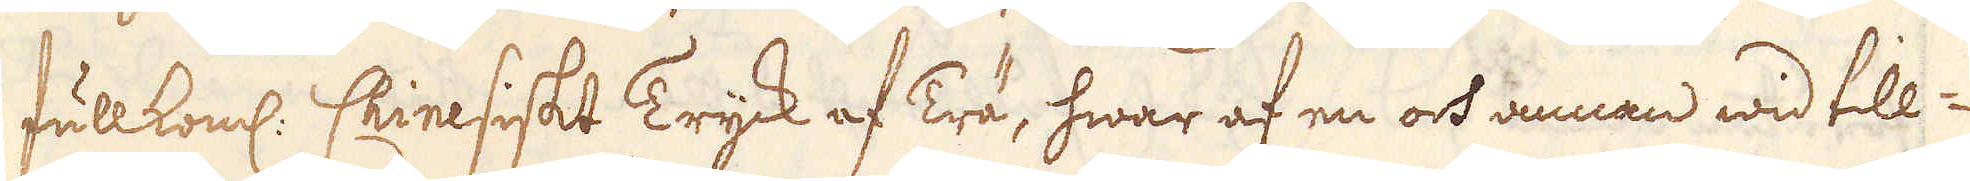fullkoml. Chinesiskt Tryck af Trä, hwar af en och annan wid till-
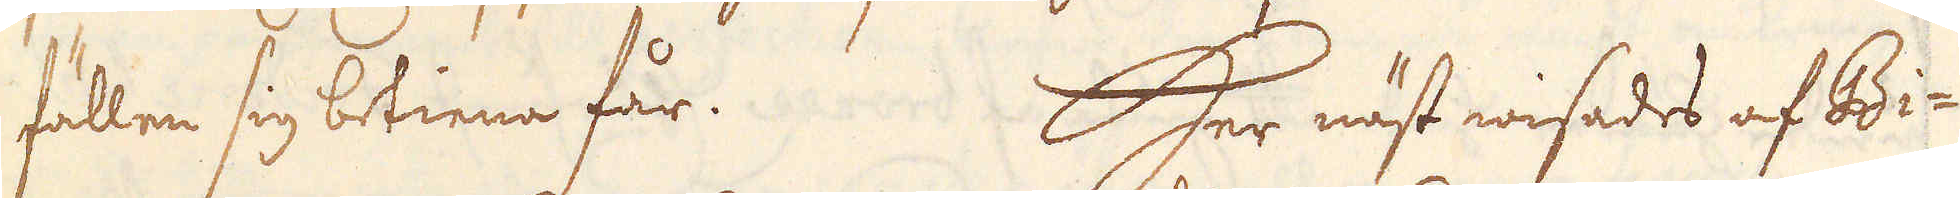fällen sig betiena får. Her näst wisades af Bi-
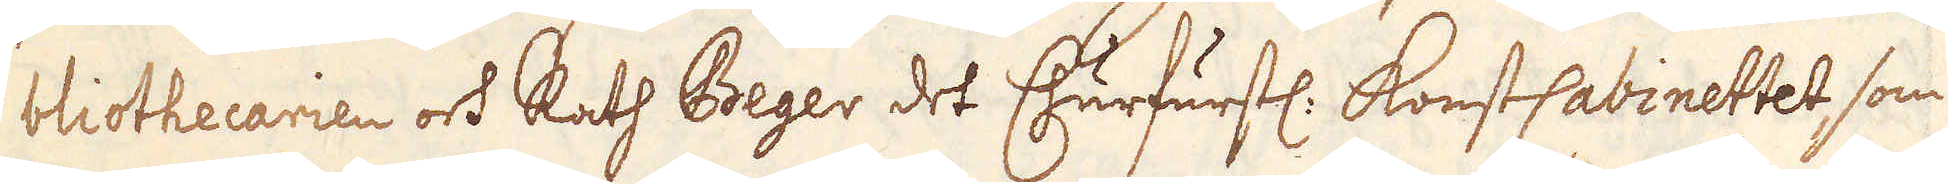bliothecarien och Rath Beger det Churfurstl. KonstCabinettet som
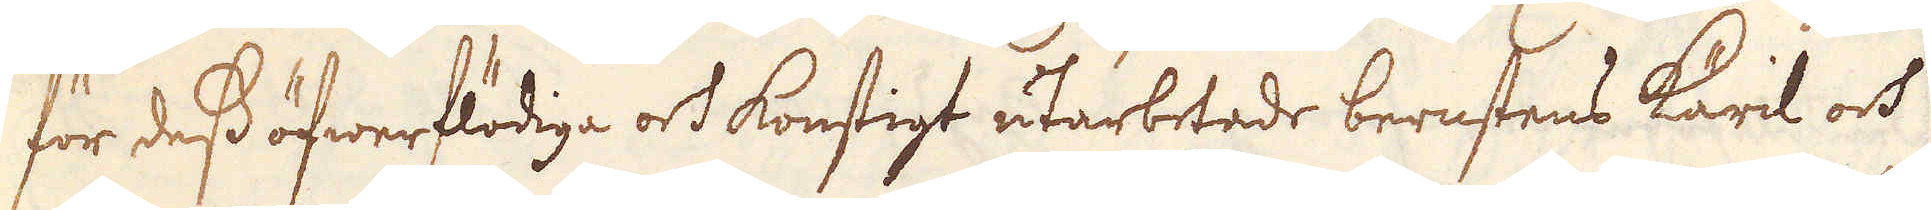för dess öfwerflödiga och konstigt utarbetade bernstens käril och
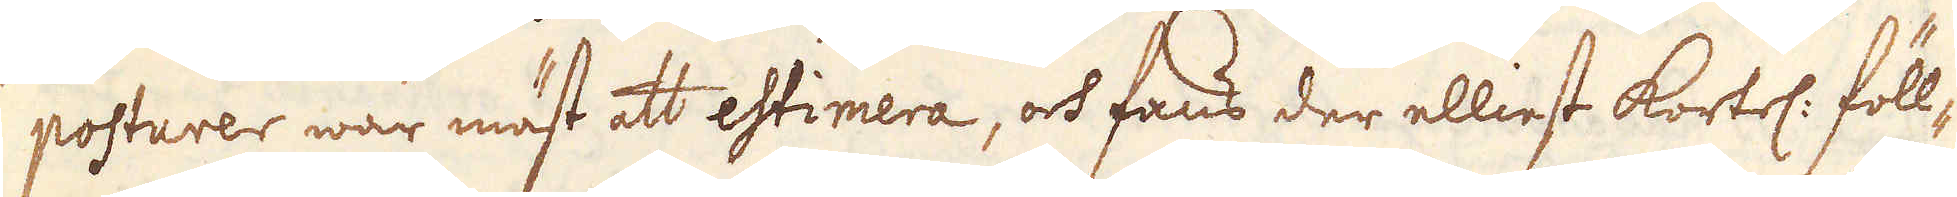posturer war mäst att estimera, och fans der elliest kortel. föll-
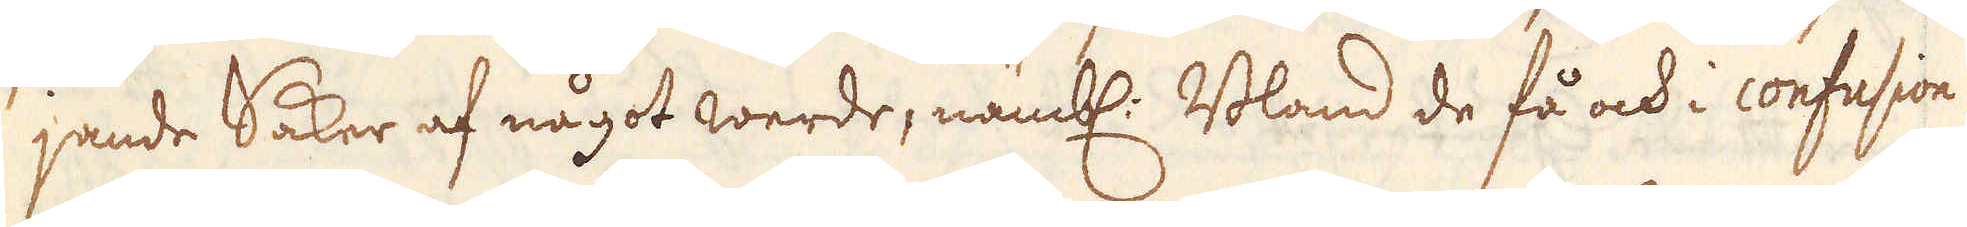jande Saker af något werde, näml. Bland de få och i confusion
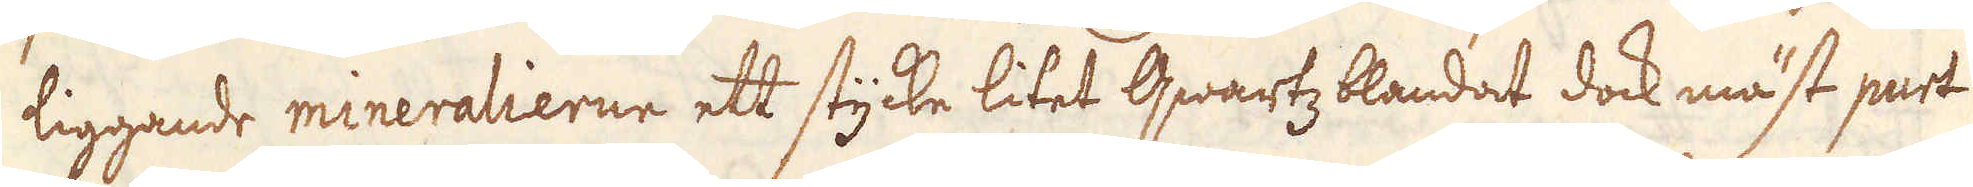liggande mineralierne ett stycke litet qwartz blandat dock mäst part
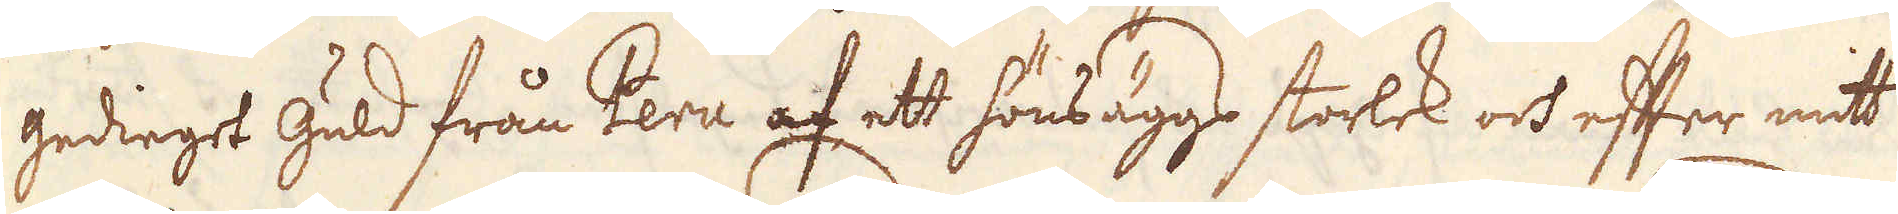gedieget Guld från Peru af ett höns äggs storlek och efter mitt
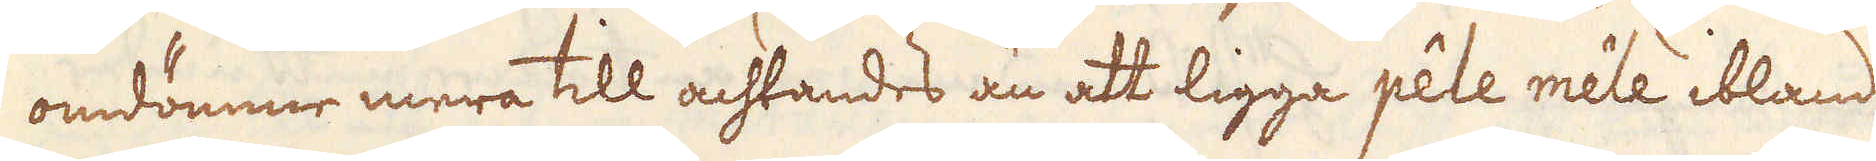omdömme mera till achtandes än att ligga pêele êmile ibland
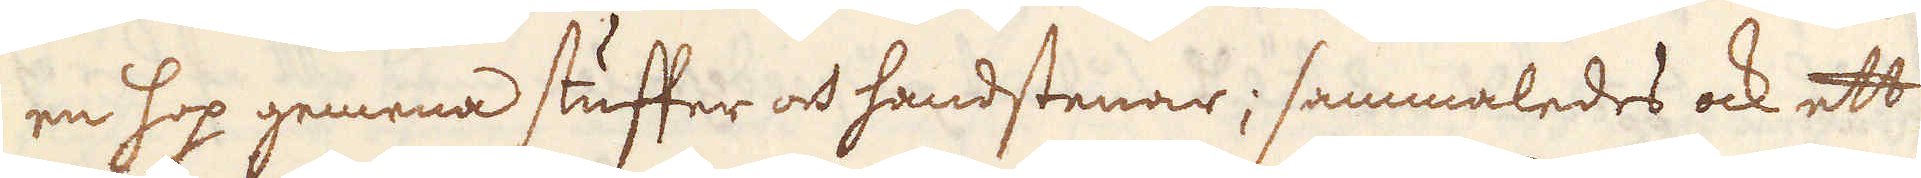en hop gemena stuffer och handstenar; sammaledes ock ett
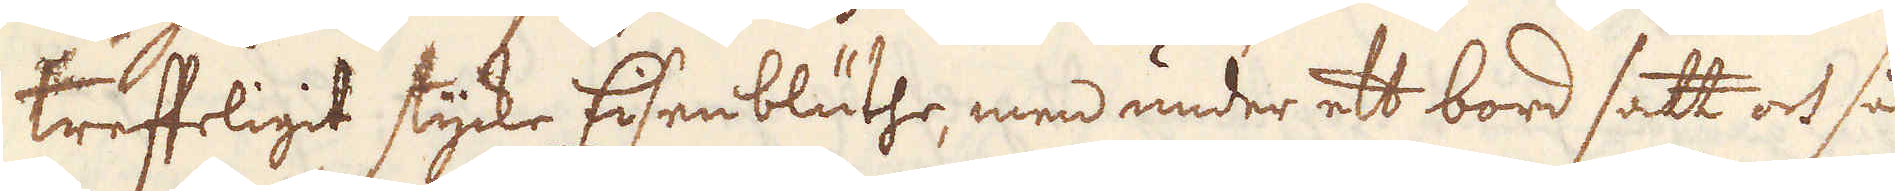treffeligit stycke Eisenbluthe, men under ett bord satt och så
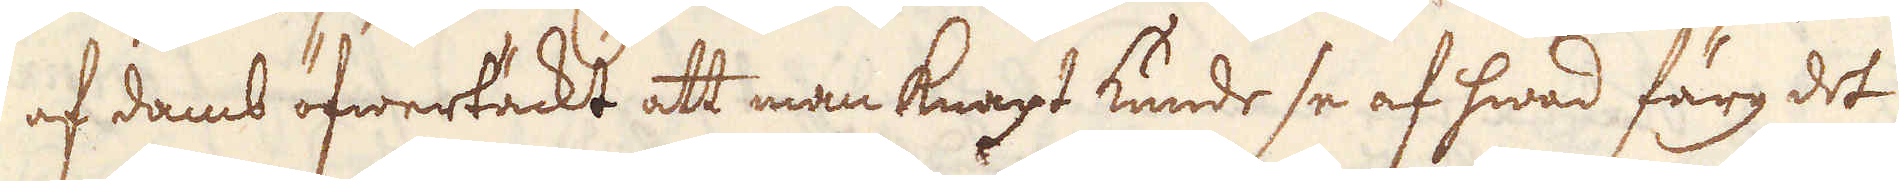af damb öfwertäckt att man knapt kunde se af hwad färg det
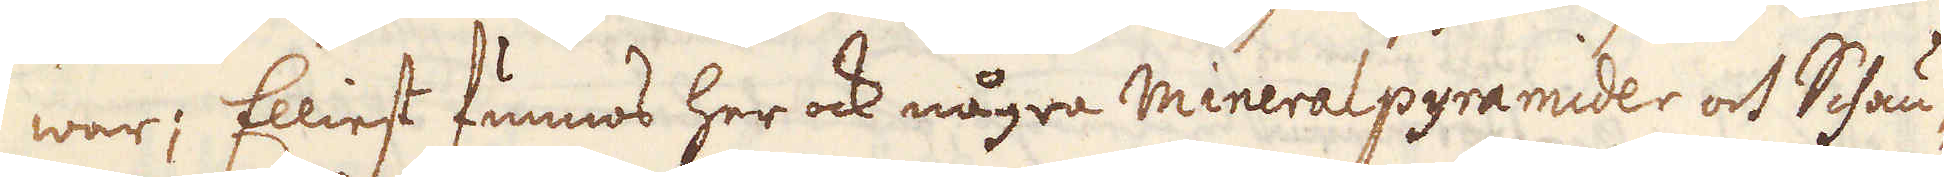war; Elliest funnos her ock några mineralpyramider och Schän-
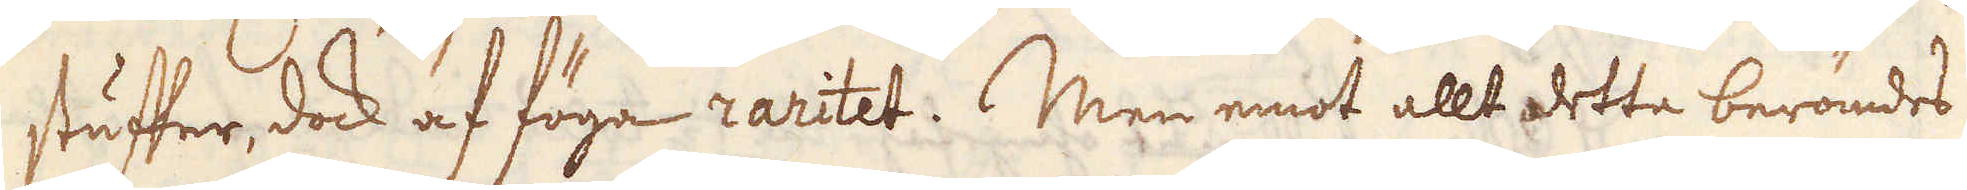stuffer, dock af föga raritet. Men emot allt detta berömdes
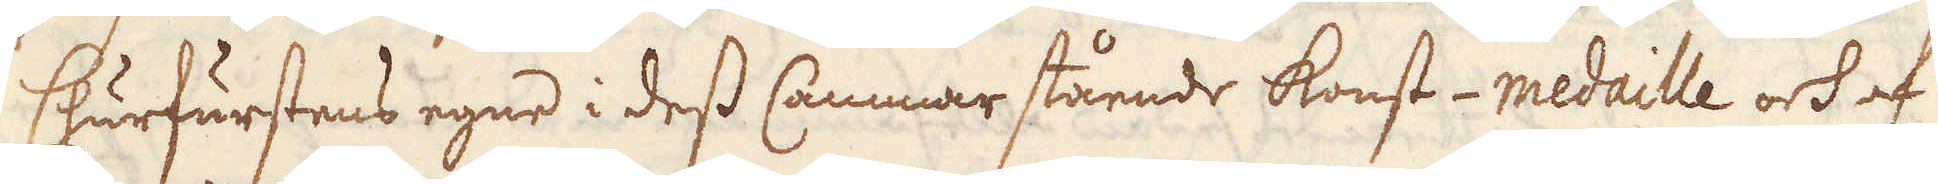Churfurstens egne i dess Cammar stående konst-medaille och af
